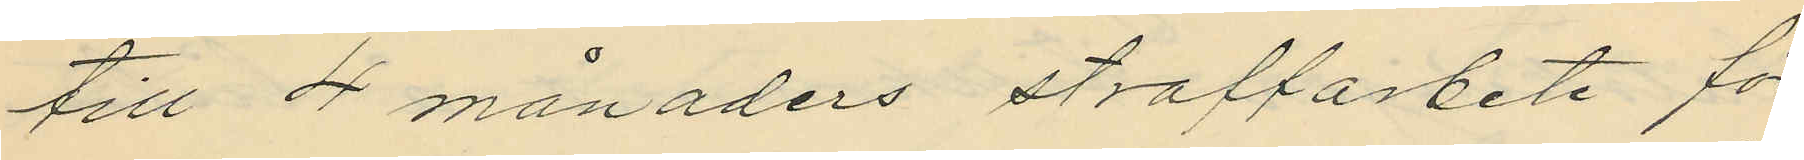till 4 månaders straffarbete för
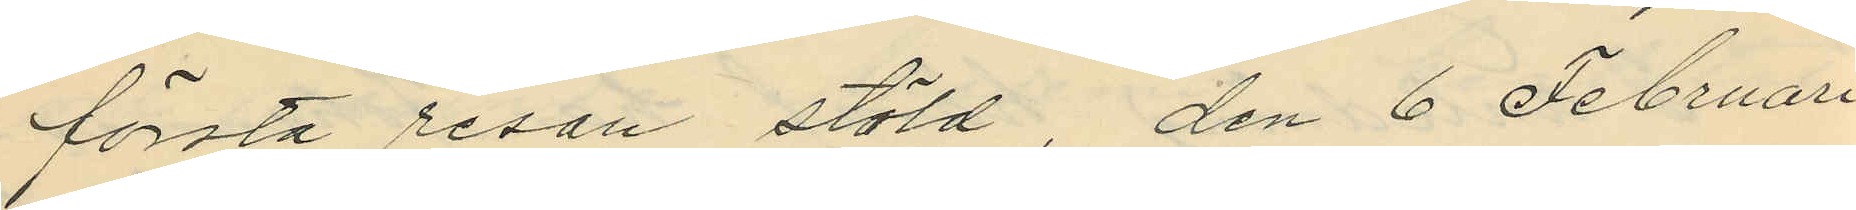första resan stöld, den 6 Februari
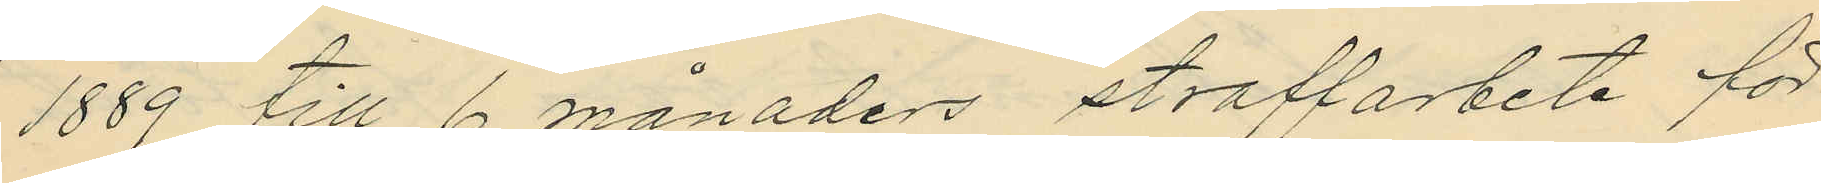1889 till 6 månaders straffarbete för
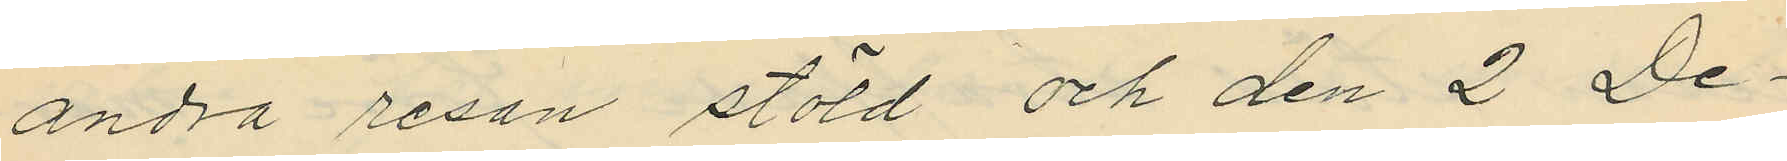andra resan stöld och den 2 De¬
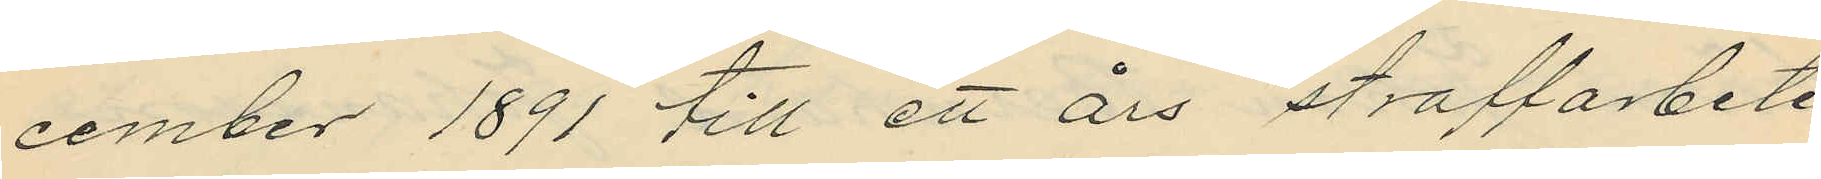cember 1891 till ett års straffarbete
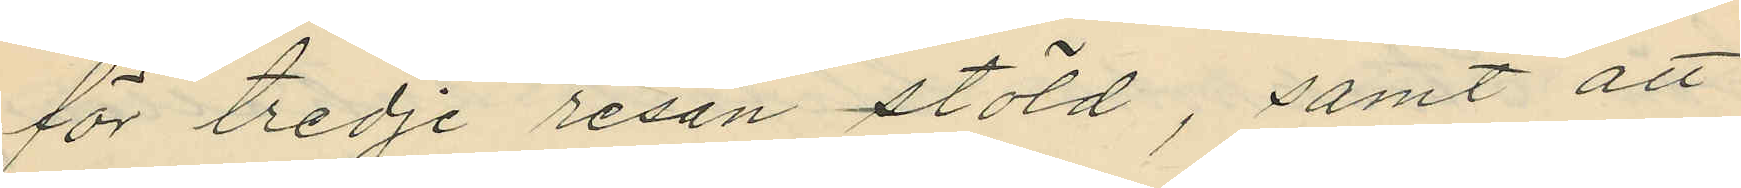för tredje resan stöld, samt att
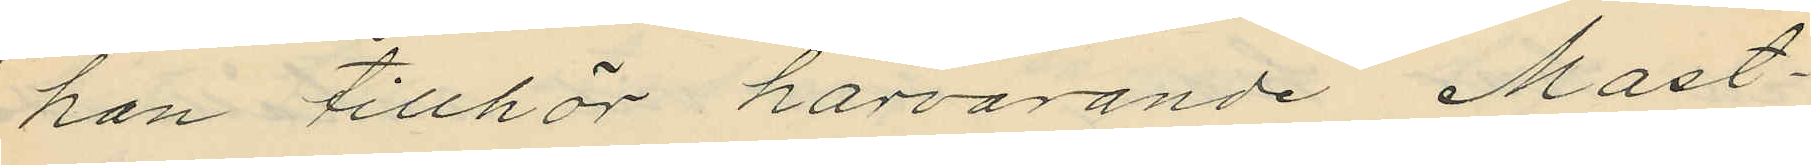hon tillhör härvarande Mast¬
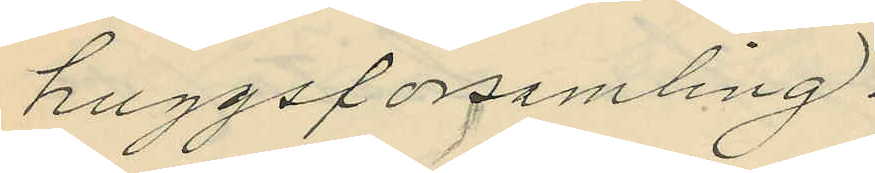huggsförsamling.
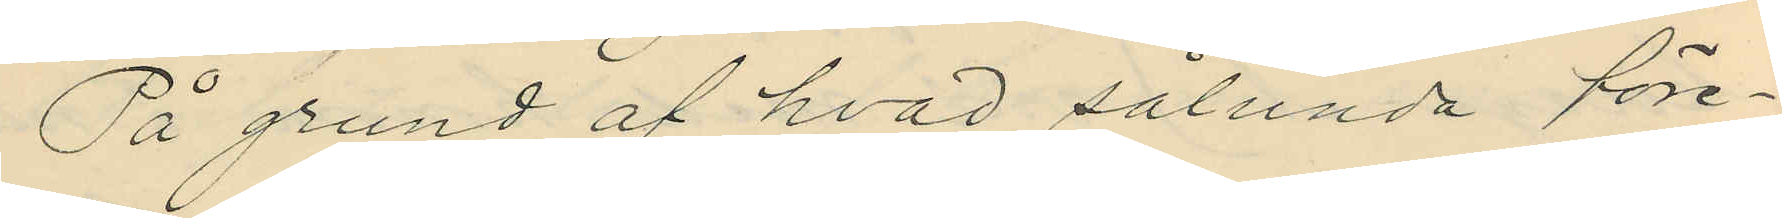På grund af hvad sålunda före¬
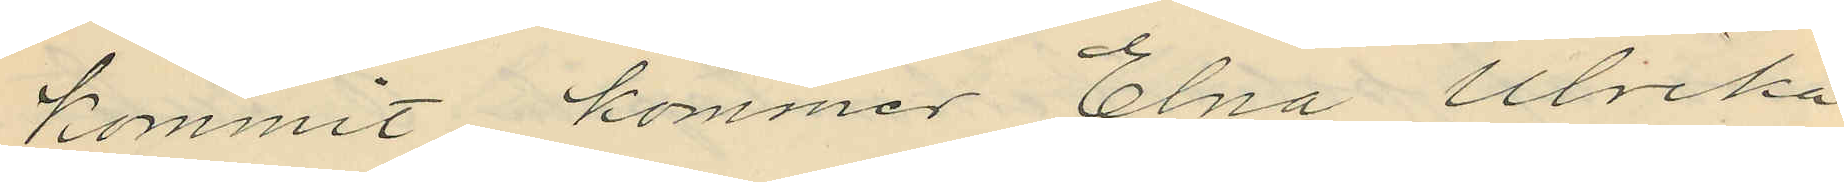kommit kommer Elna Ulrika
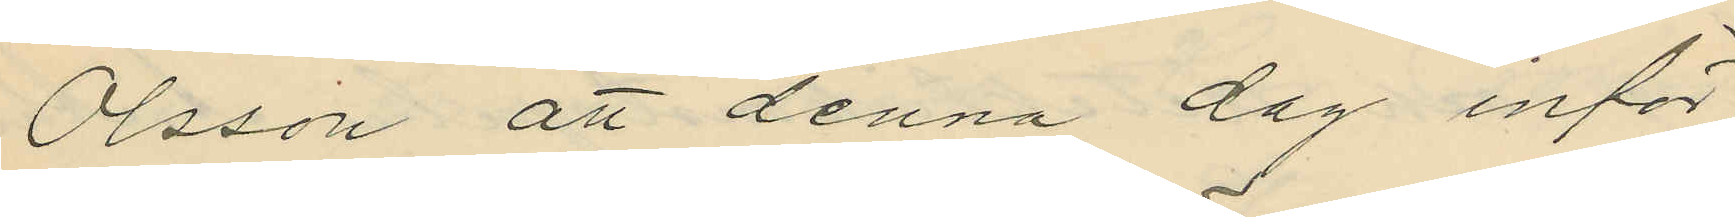Olsson att denna dag inför
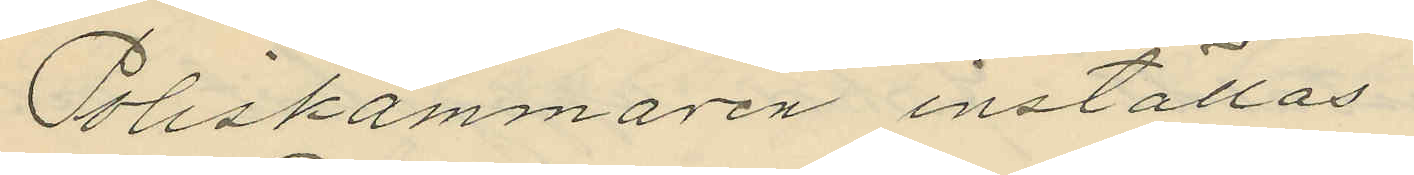Poliskammaren inställas.
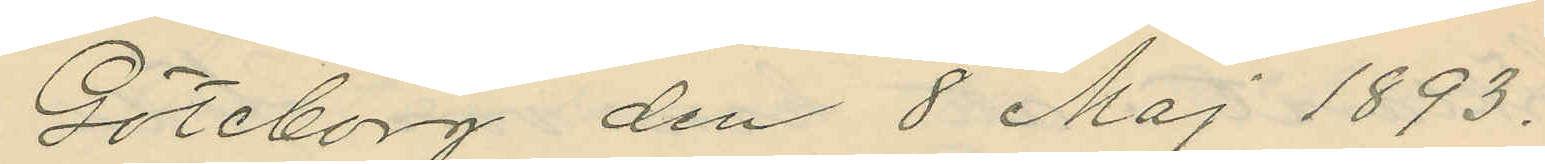Göteborg den 8 Maj 1893.
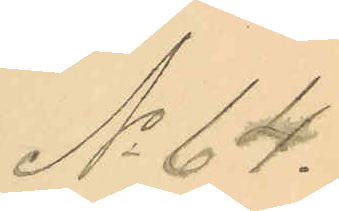No 64.
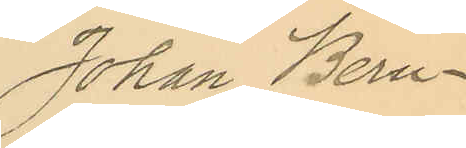Johan Bern¬
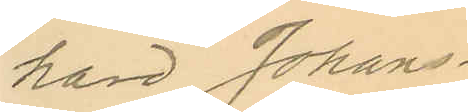hard Johans¬
